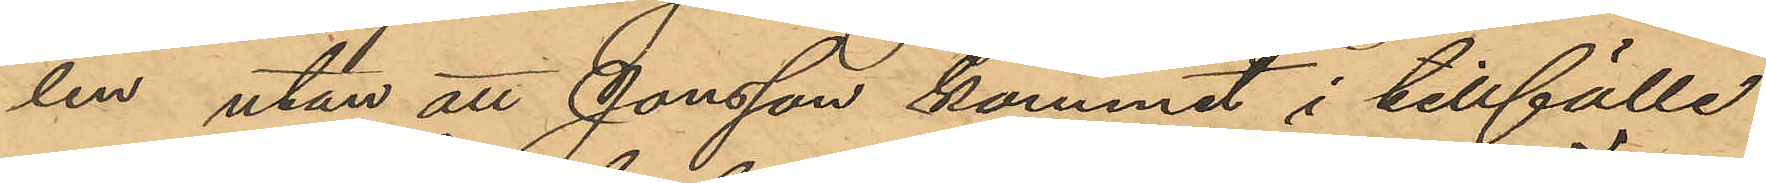len utan att Jonsson kommit i tillfälle
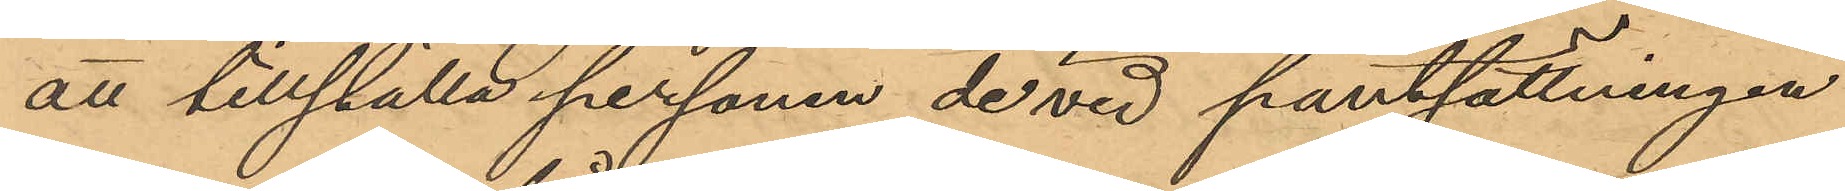att tillställa personen de vid pantsättningen
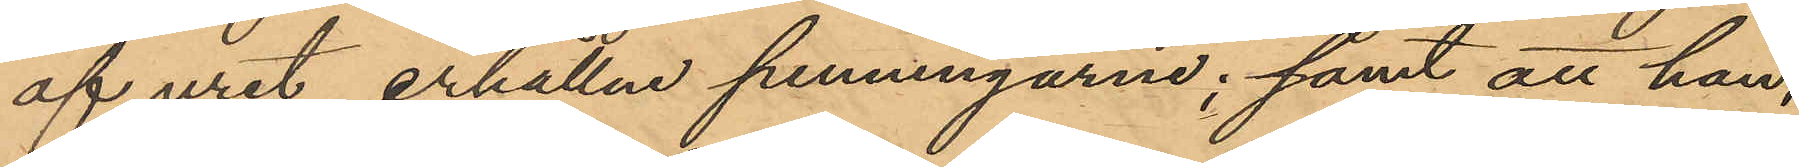af uret erhållne penningarne; samt att han,
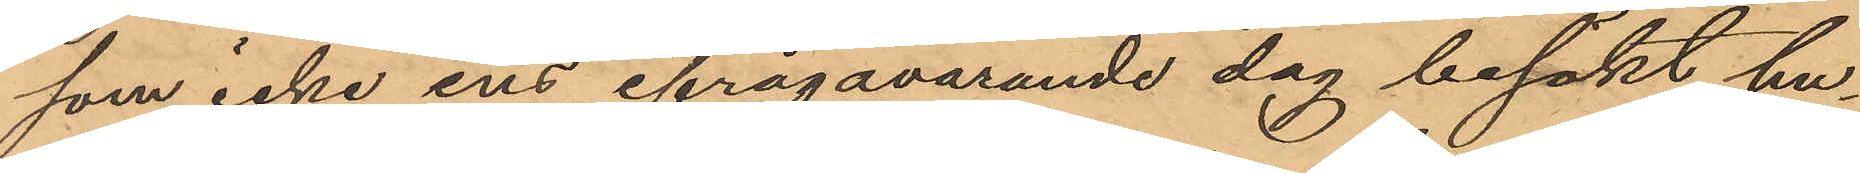som icke ens ifrågavarande dag besökt hu¬
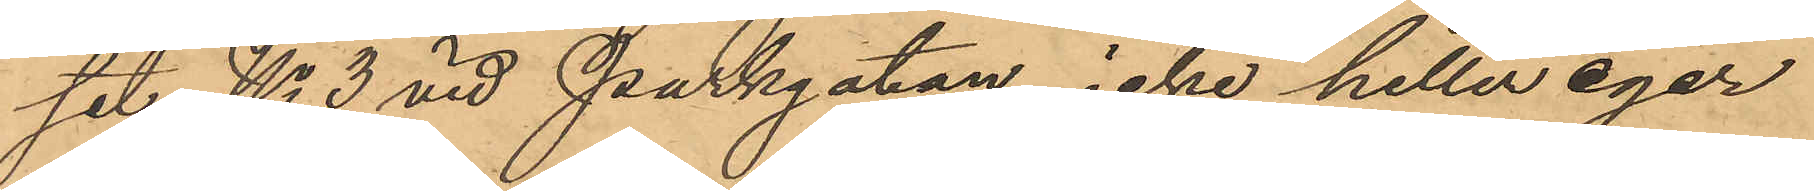set No 3 vid Parkgatan, icke heller eger
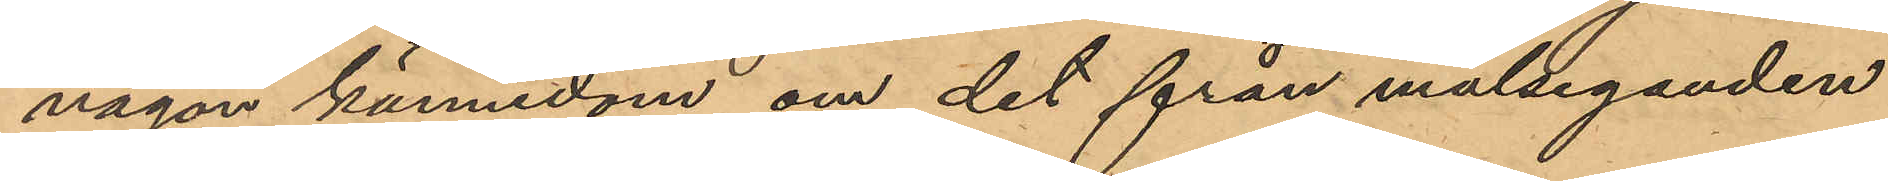någon kännedom om det från målseganden
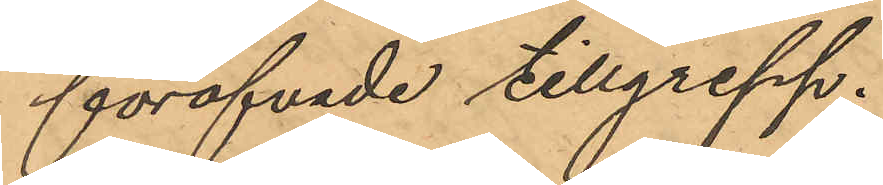föröfvade tillgrepp.
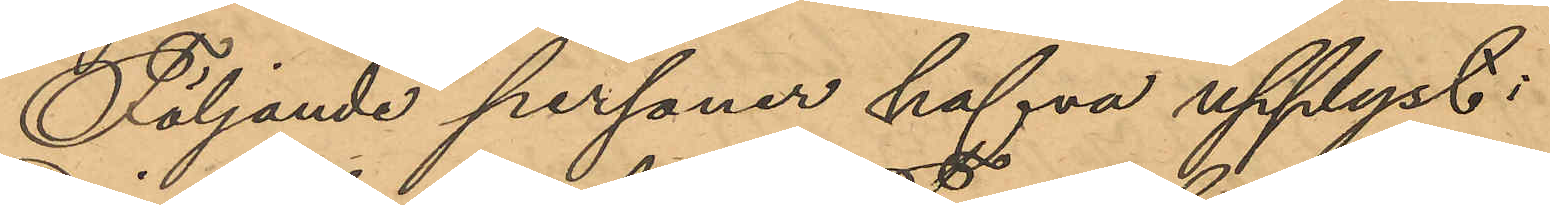Följande personer hafva upplyst:
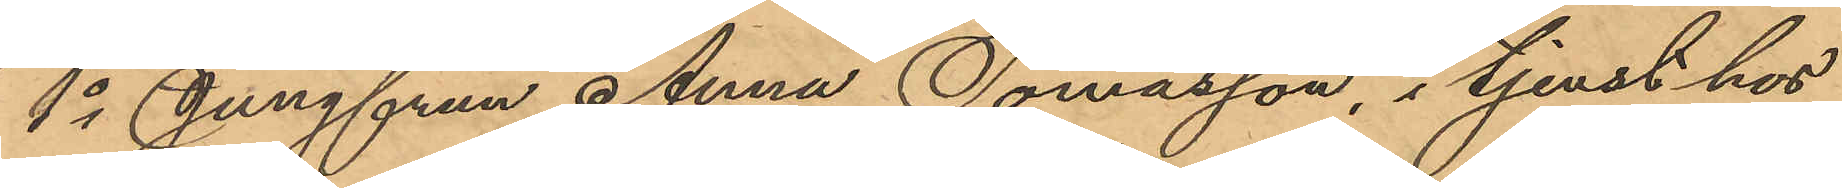1o Jungfrun Anna Tomasson, i tjenst hos
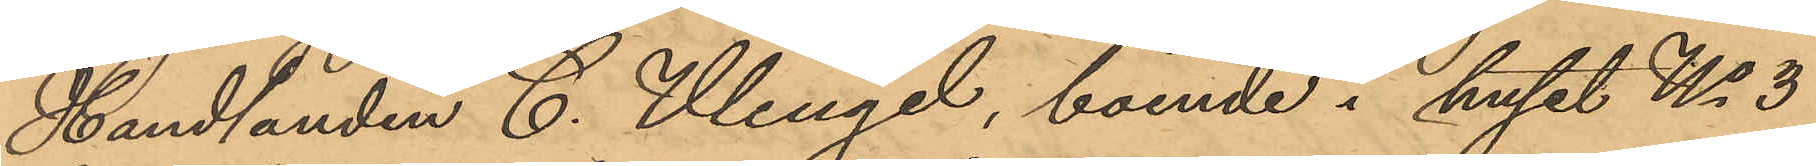Handlanden C. Wengel, boende i huset No 3
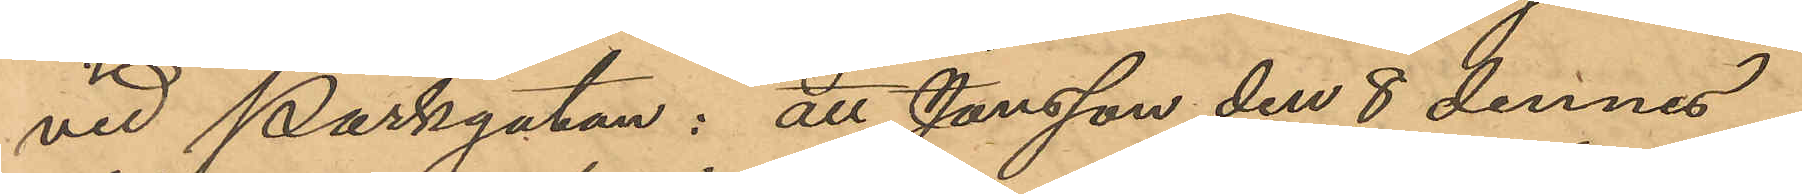vid Parkgatan: att Jonsson den 8 dennes
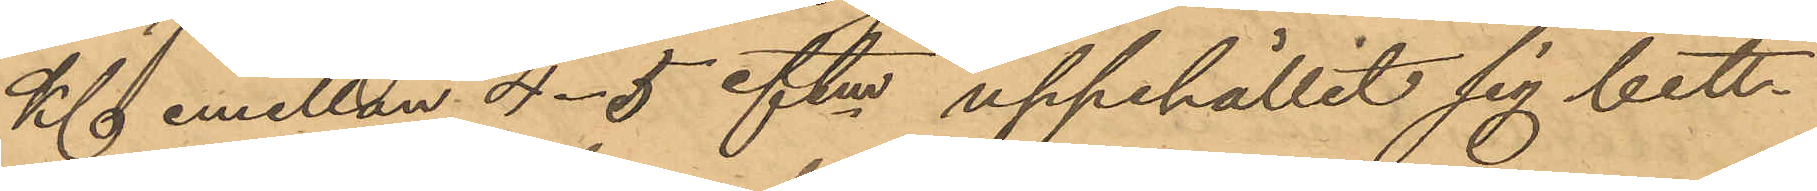Kl emellan 4-5 eftm uppehållit sig bett¬
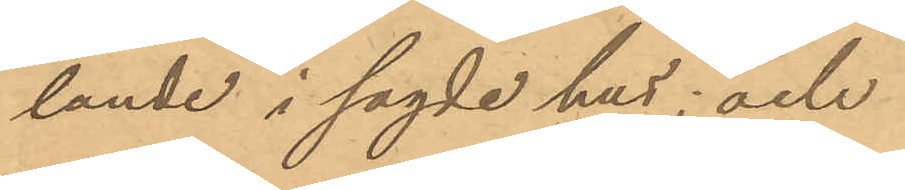lande i sagde hus; och
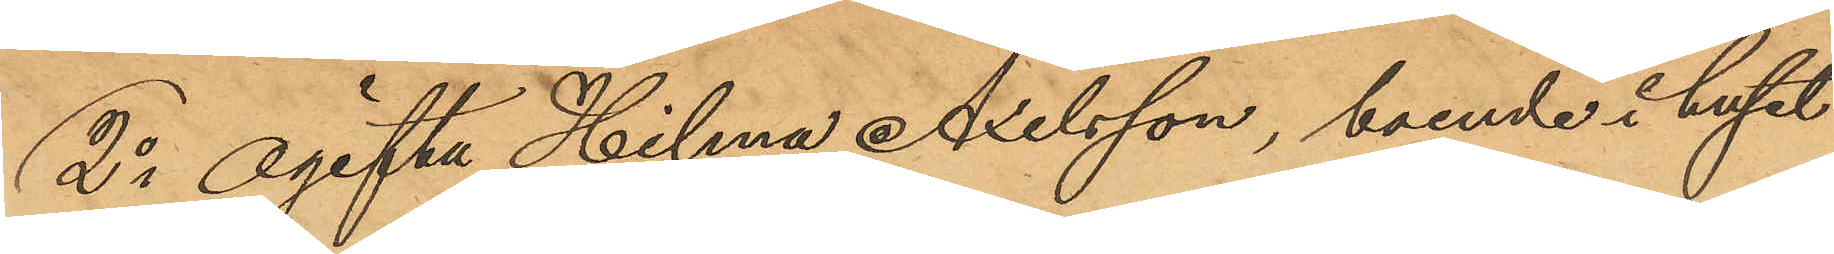2o ogifta Hilma Axelsson, boende i huset
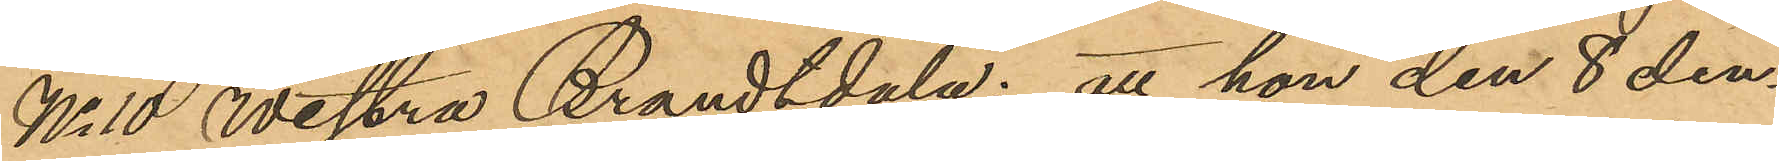No 10 Westra Brandtdala: att hon den 8 den¬
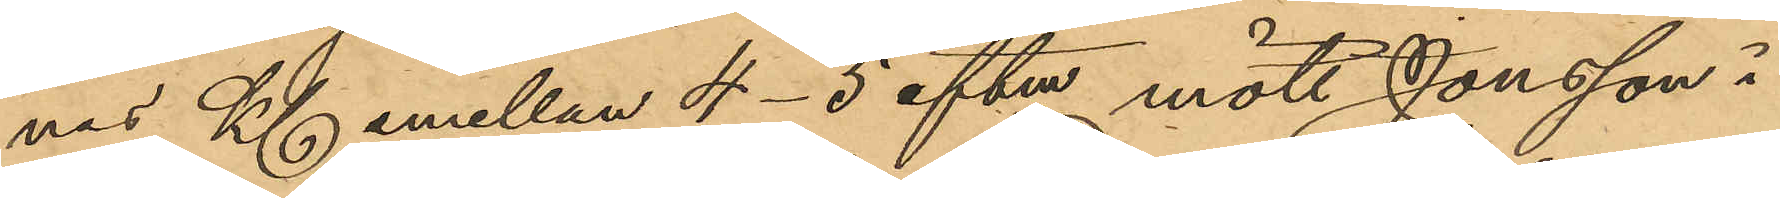nas Kl emellan 4-5 eftm mött Jonsson i
